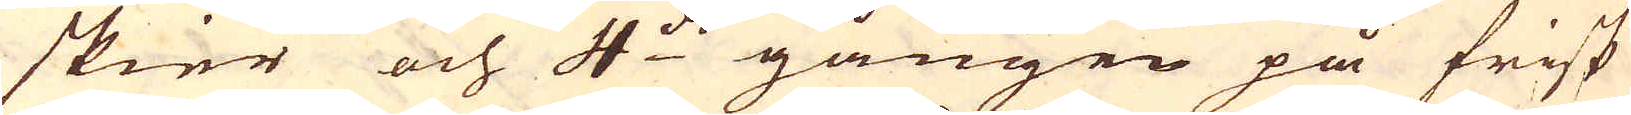skier och 4:de gången på frisk
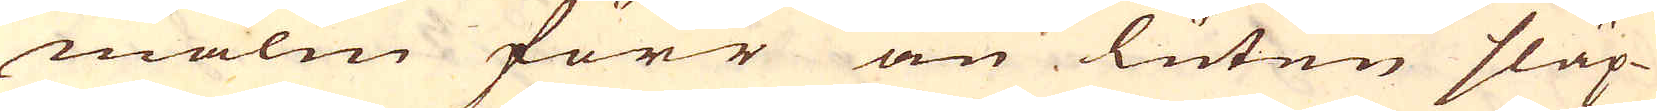malm förr än luten släp-
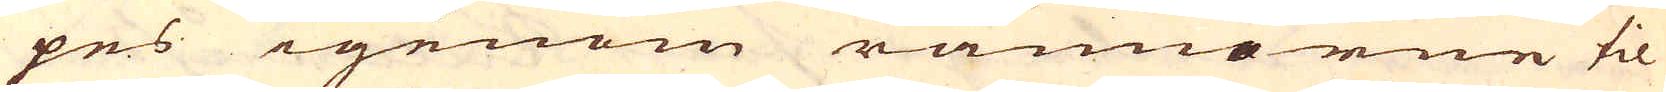pes igenom rännorne til
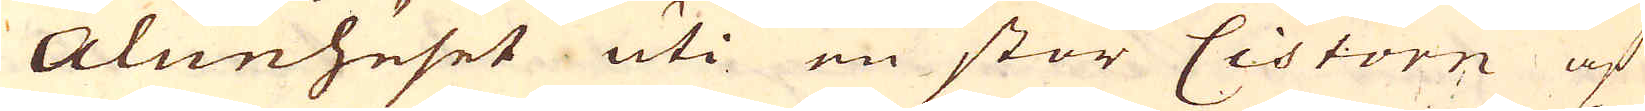Alunhuset uti en stor Cistorn af
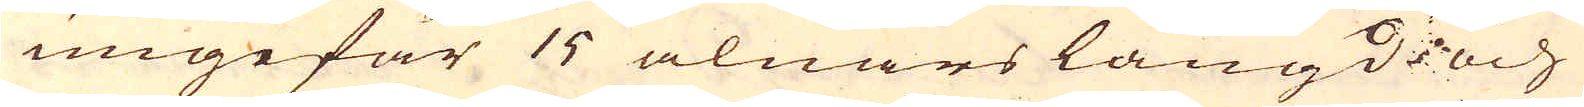ungefär 15 alnars längd och
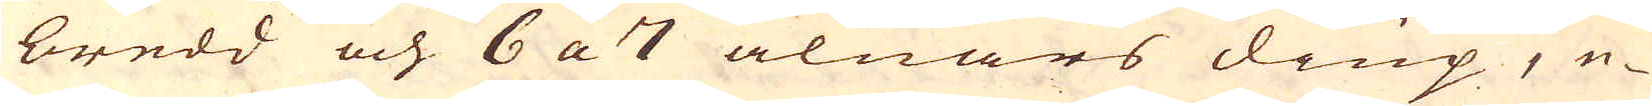bredd och 6 a 7 alnars diup, e-
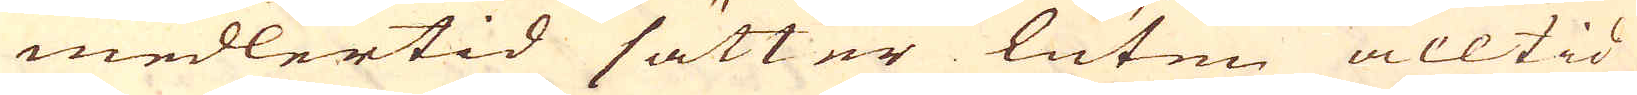medlertid sätter luten alltid
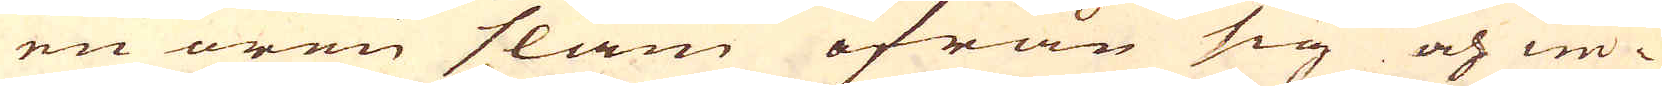en oren slam ifrån sig och in-
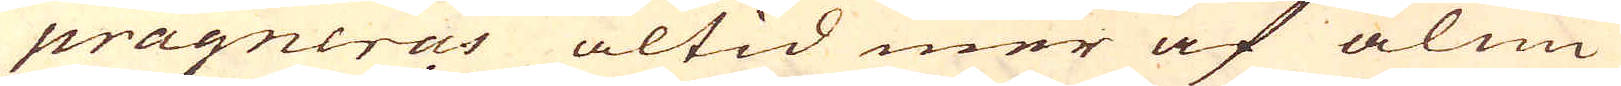prägneras altid mer af alun
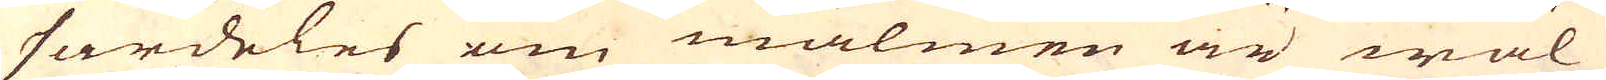särdeles om malmen är wäl
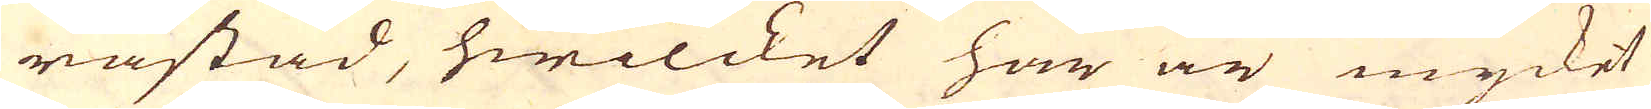råstad, hwilcket här är mycket
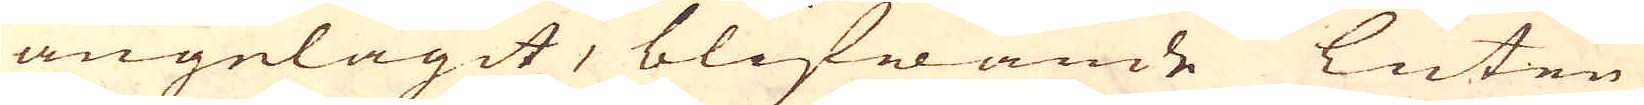angelägit, blifwande Luten
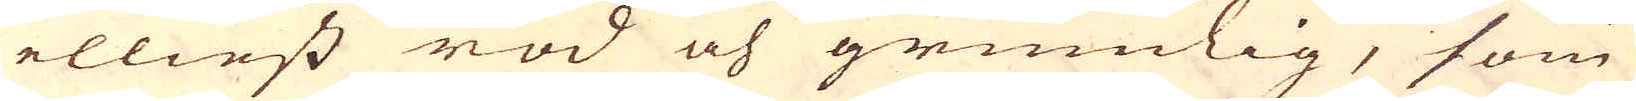elliest röd och grumlig, som
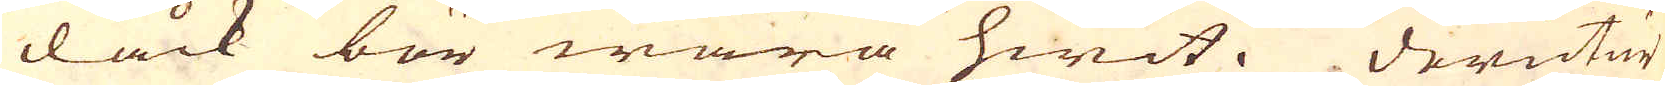dåck bör wara hwit. Derutur
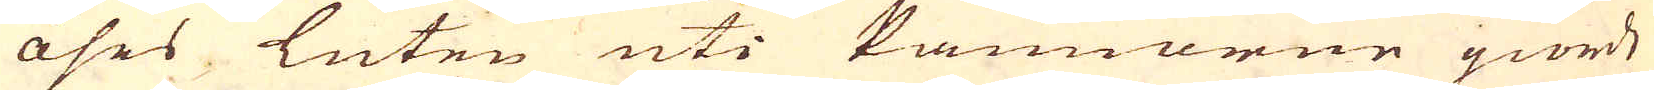öses luten uti Pannorne giorde
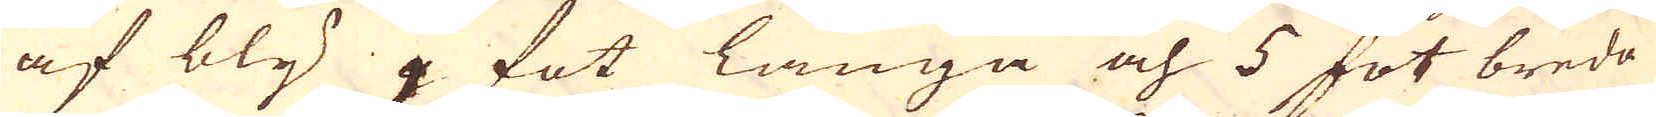af bly 9 fot långa och 5 fot breda
